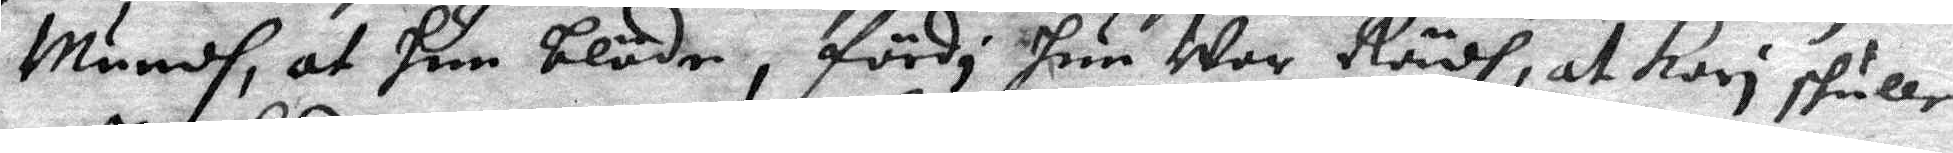Mundh, at hun blöde, fördi hun war Rädh, at kari skulle
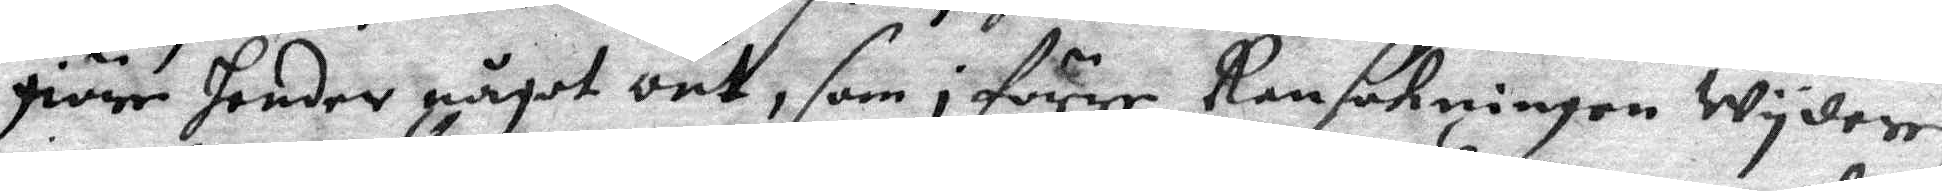giöre hender något ont, som i förre Ransakningen wydere
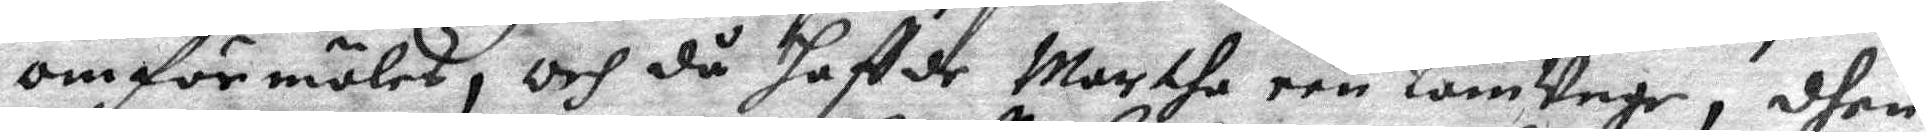omförmäles, och då haffde Marthe een lamunge, dhen
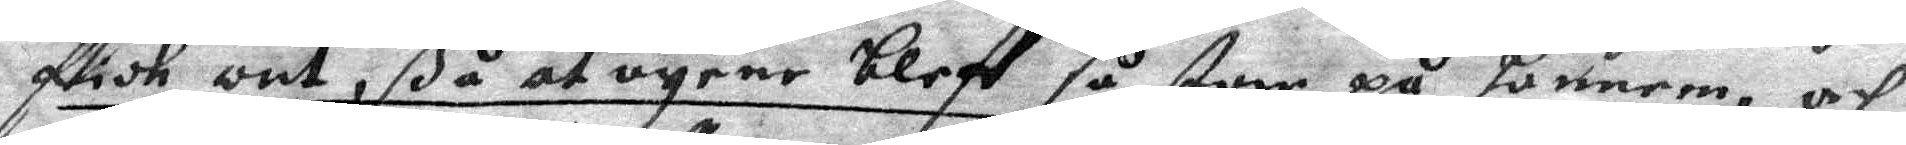fick ont, så at ögene bleff så storr på honnem och
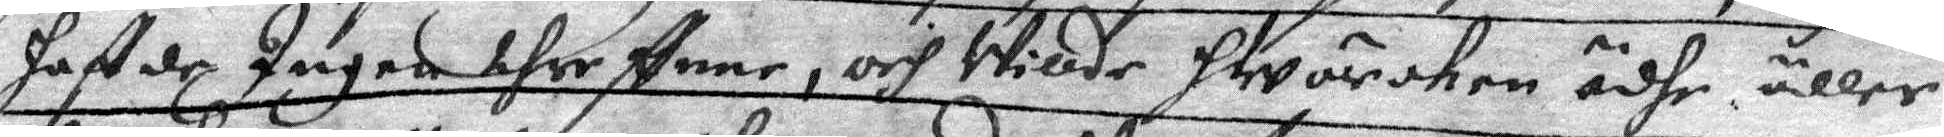haft de Ingen threffnne, och Willde Hwärcken ädhe äller
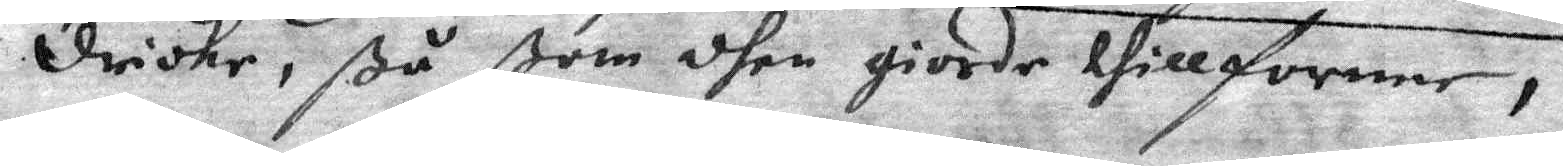dricke, ßå ßom dhen giorde tillforene,
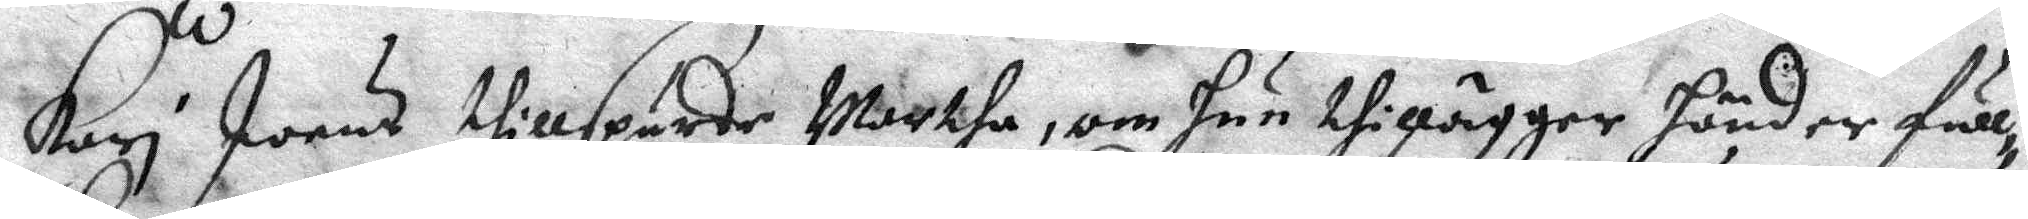Kari Joens thillspurde Martha, om hun thillägger händer full¬
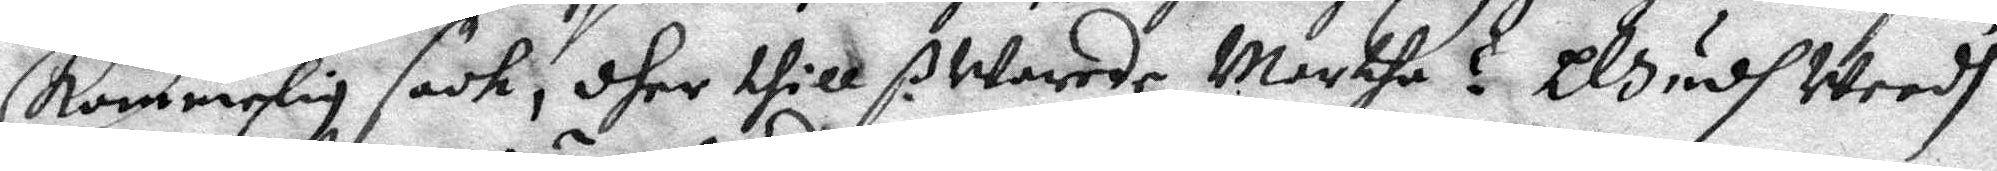kommelig sack, dher thill ßWarade Martha ? Gudh weedh
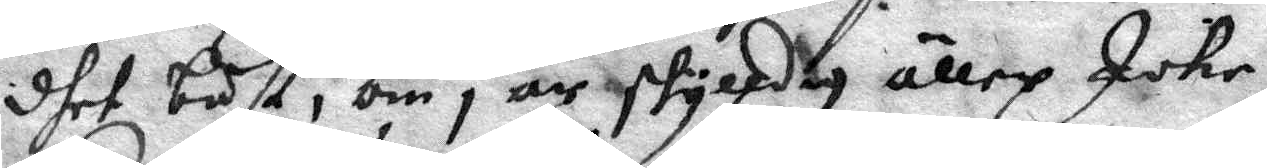dhet bäst, om i är skylldig äller Icke,
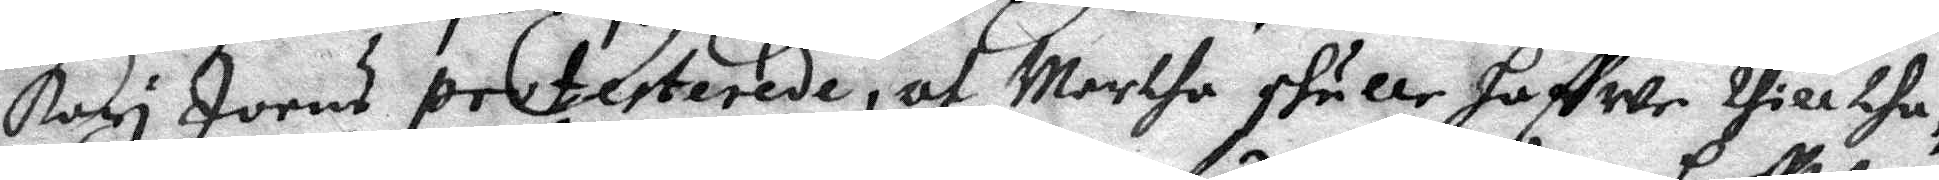Kari Joens protesterade, af Martha skulle haffwe tilltha¬
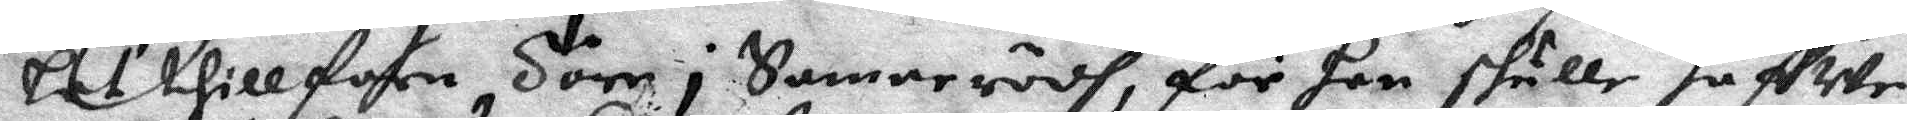let thillföre Töre i Sammerödh, för han skulle haffwe
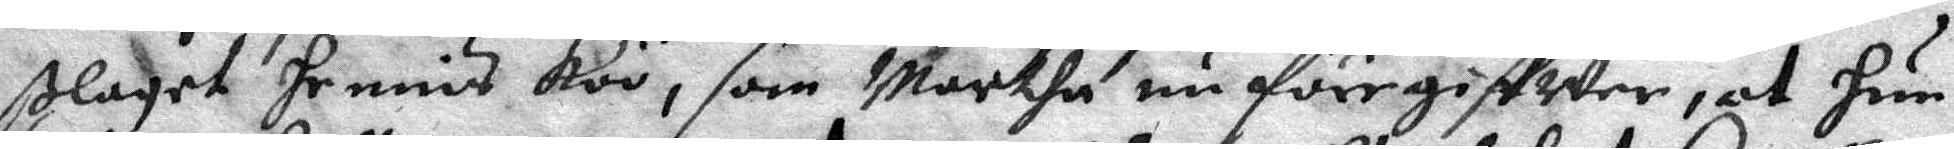slaget hennis koo, som Martha nu föregiffwer, at hun
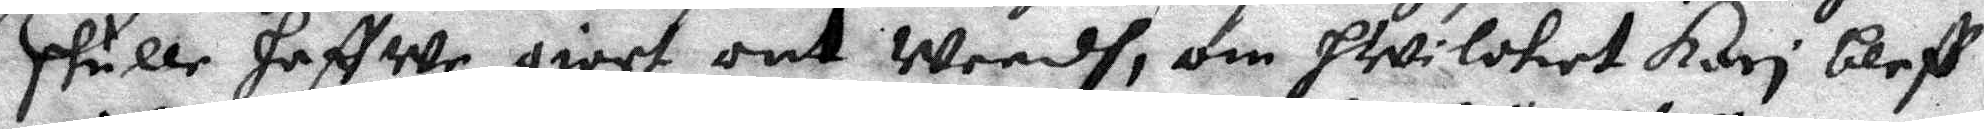skulle haffwe giort ont Weedh, om hwilket Kari bleff
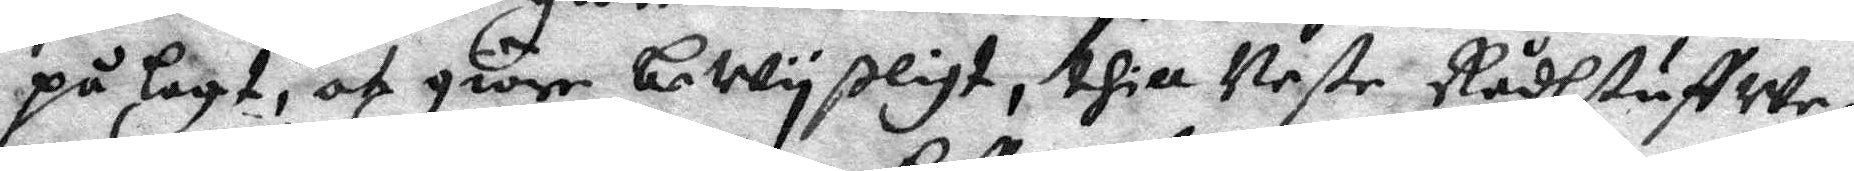på lagt, at giöre bewyßligt, till Neste Rådhstuffwe,
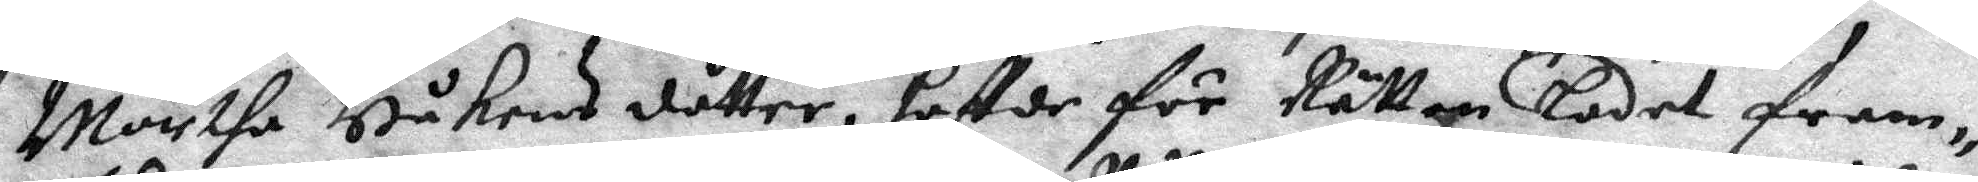Martha Håkens dåtter, hafde för Rättan Ladet fram¬
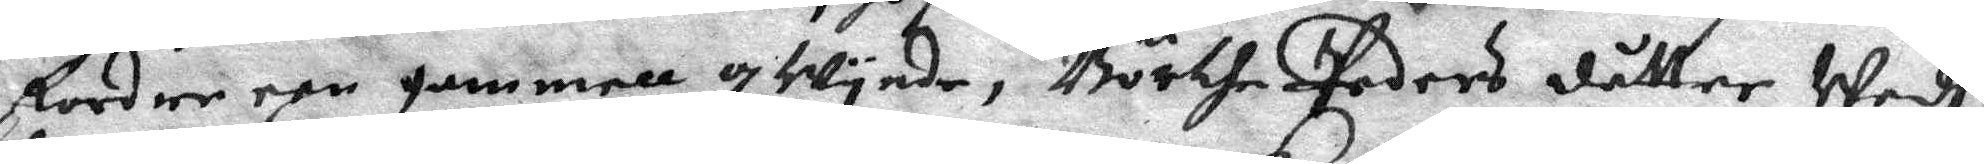fordre een gammell qwynde, Börthe Peders dåtter Wedh
